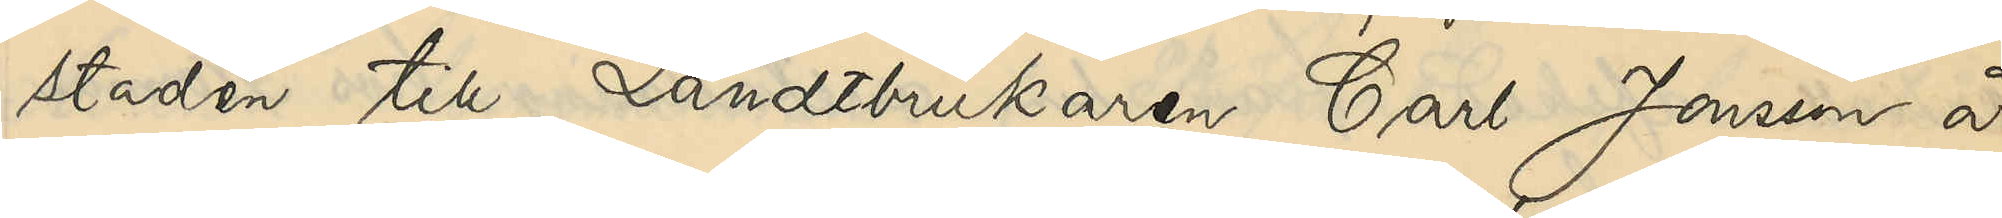staden till Landtbrukaren Carl Jonsson å
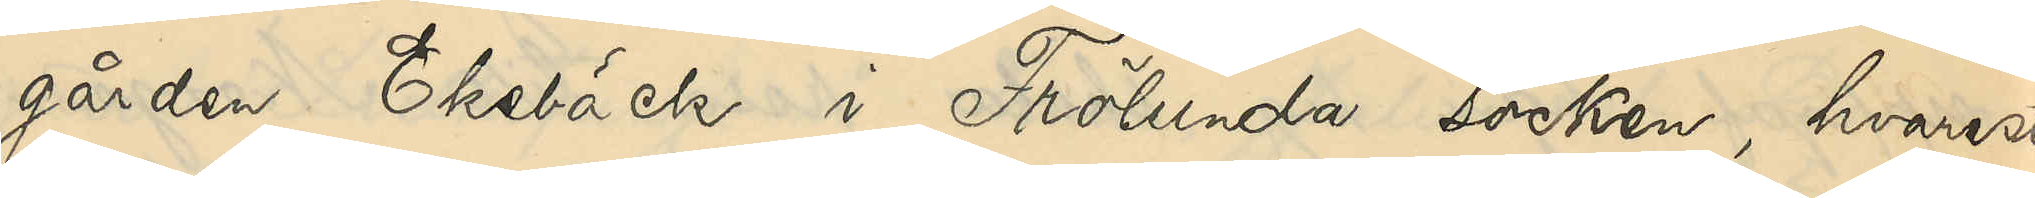gården Ekebäck i Frölunda socken, hvarest
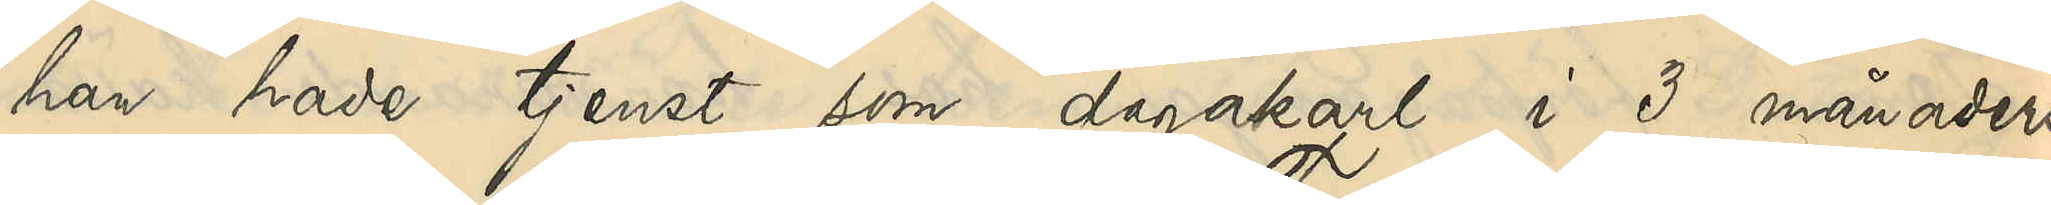han hade tjenst som dagakarl i 3 månaders
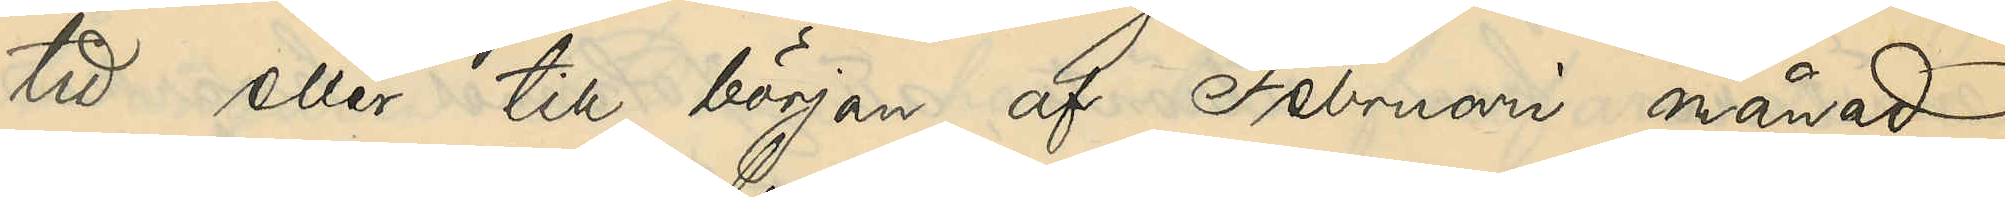tid eller till början af Februari månad 
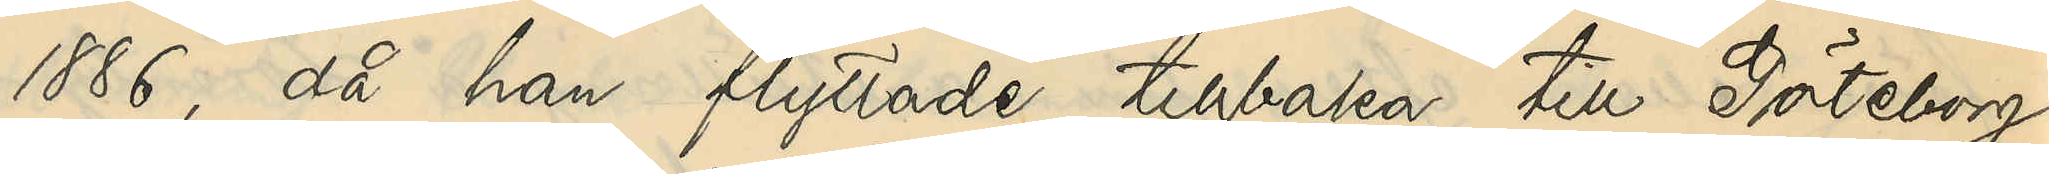1886, då han flyttade tillbaka till Göteborg
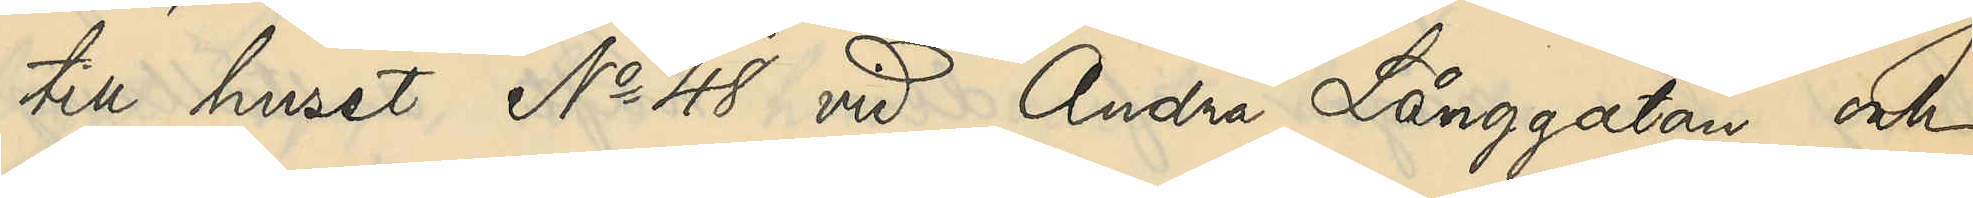till huset No 48 vid Andra Långgatan och
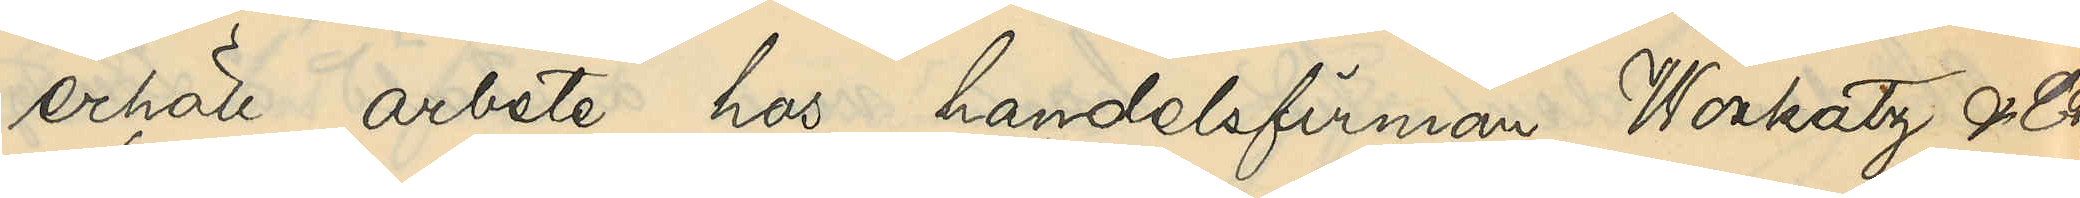erhöll arbete hos handelsfirman Wockatz & Co.
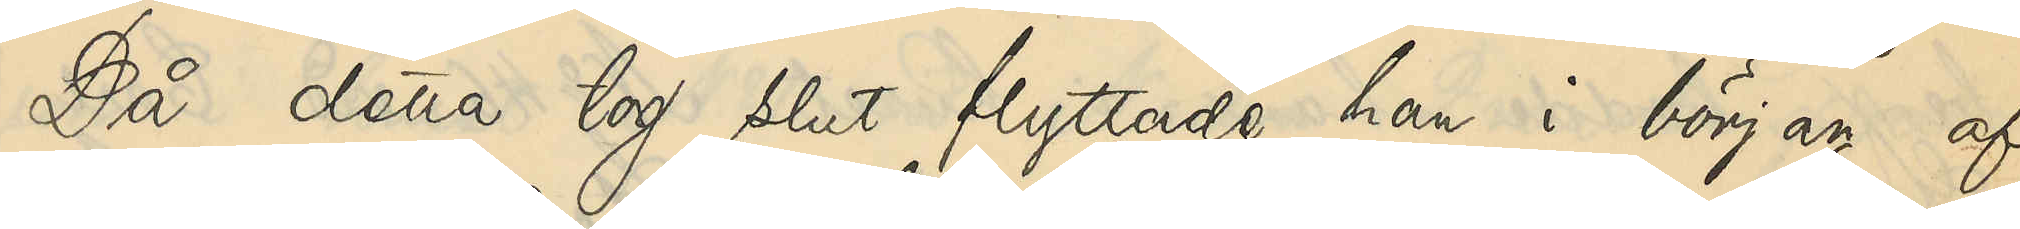Då detta tog slut flyttade han i början af
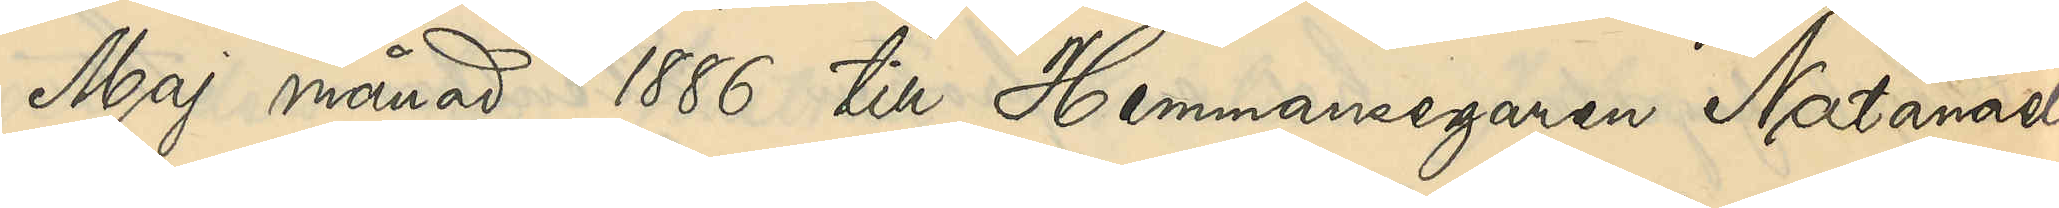Maj månad 1886 till Hemmansegaren Natanael
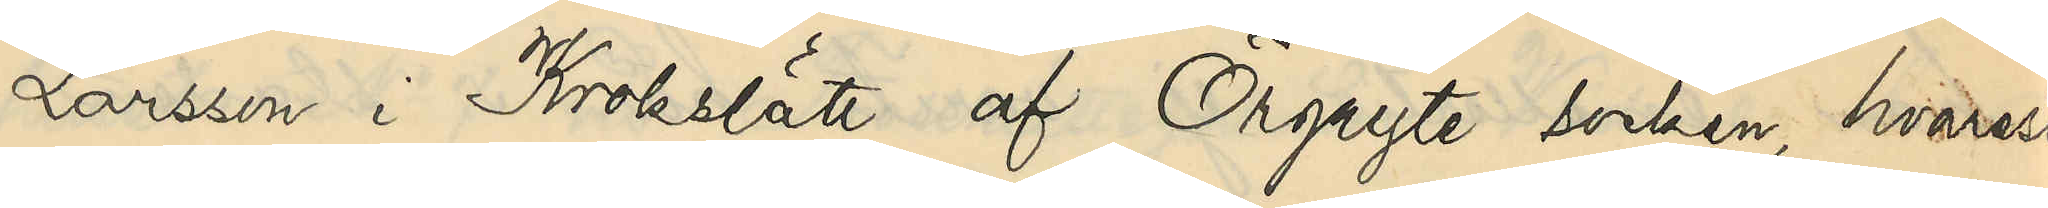Larsson i Krokslätt af Örgryte socken, hvarest
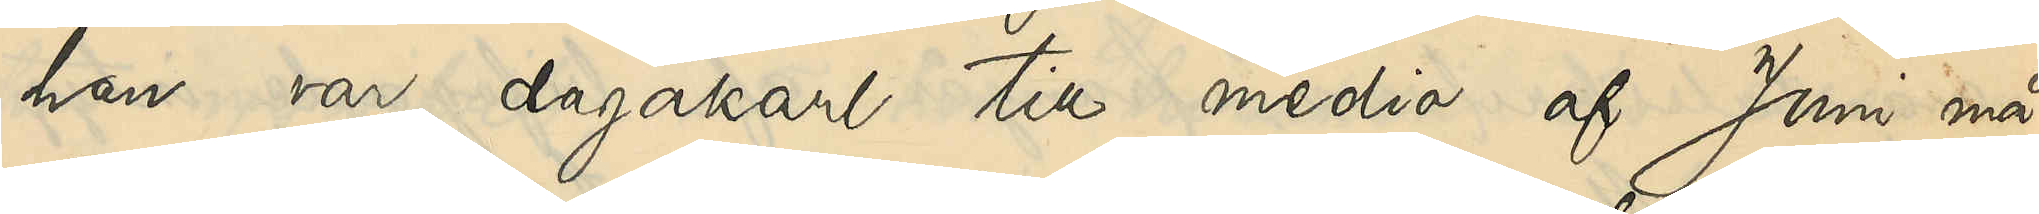han var dagakarl till medio af Juni må¬
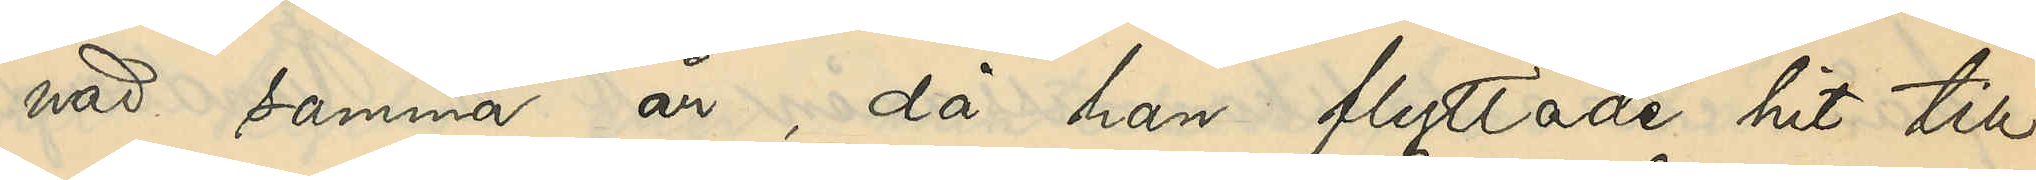nad samma år då han flyttade hit till
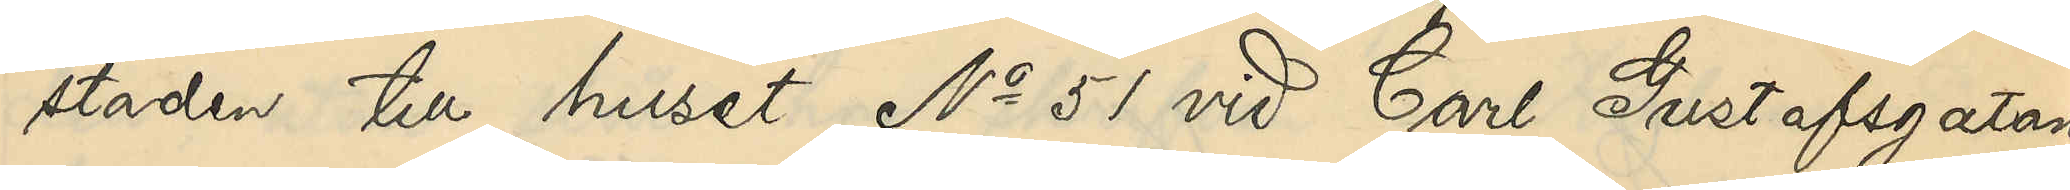staden till huset No 51 vid Carl Gustafsgatan
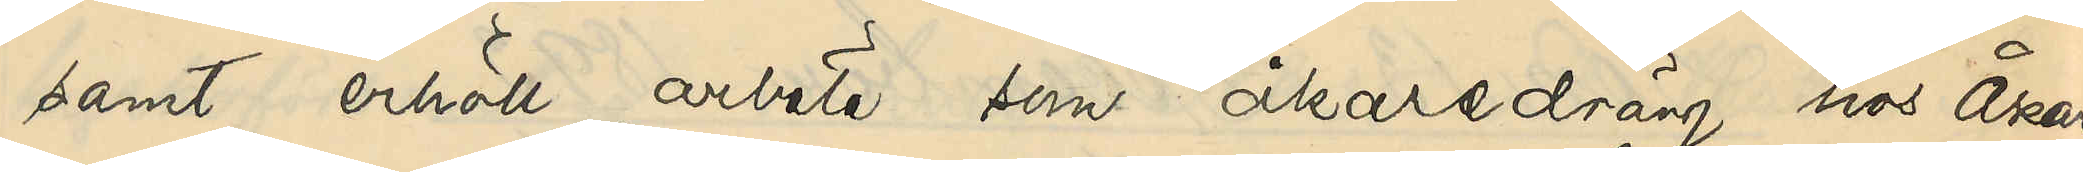samt erhöll arbete som åkaredräng hos Åkaren
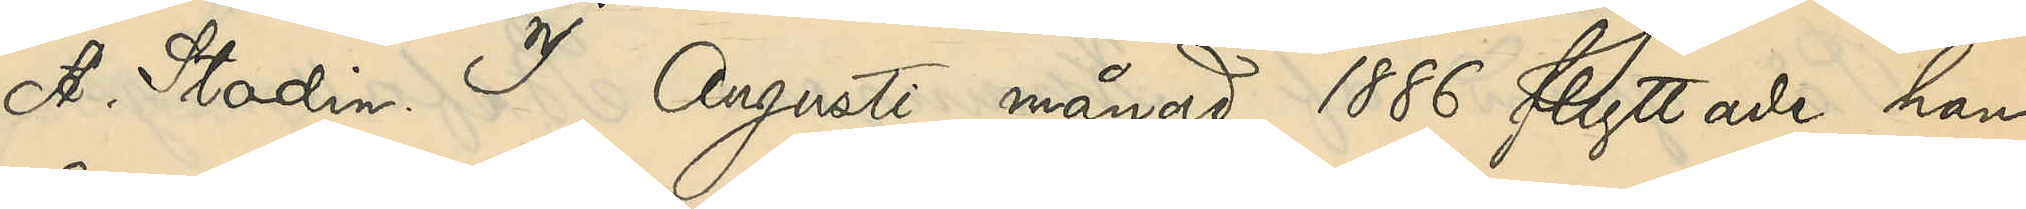A. Stadin. I Augusti månad 1886 flyttade han
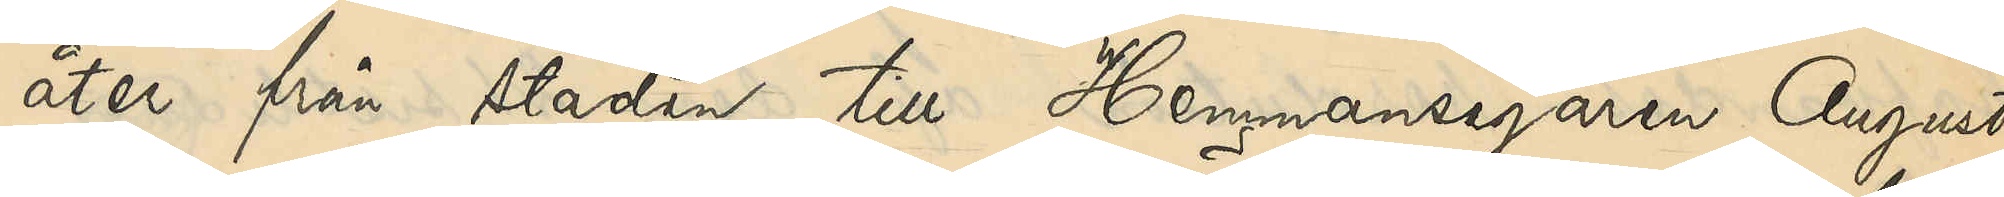åter från staden till Hemmansegaren August
